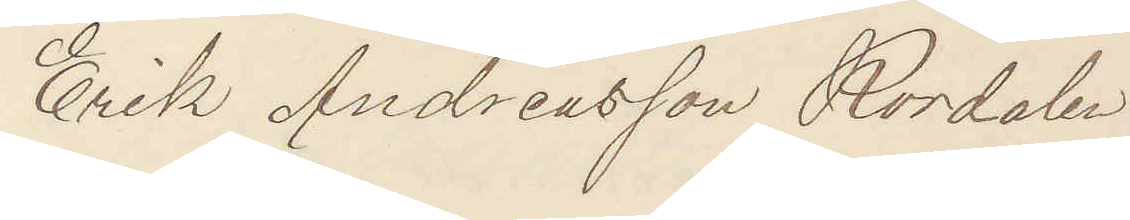Erik Andreasson Rördalen
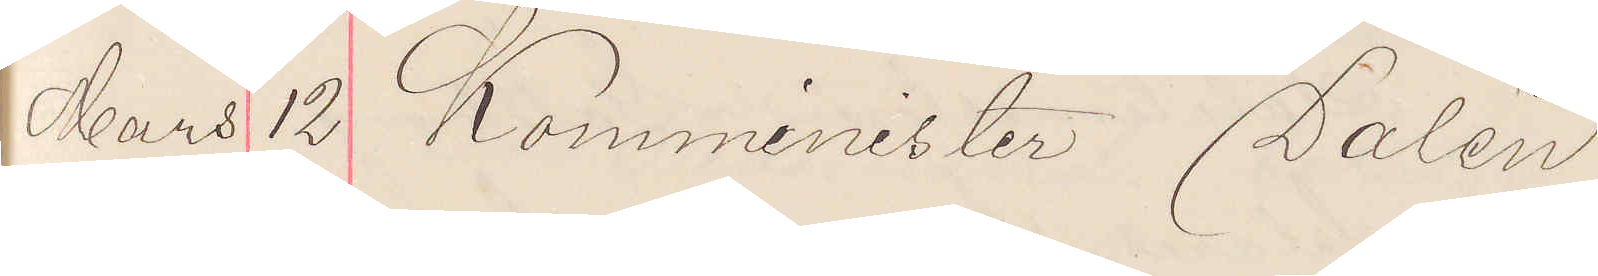Mars 12 Komminister Dalén
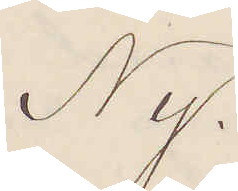Ny.
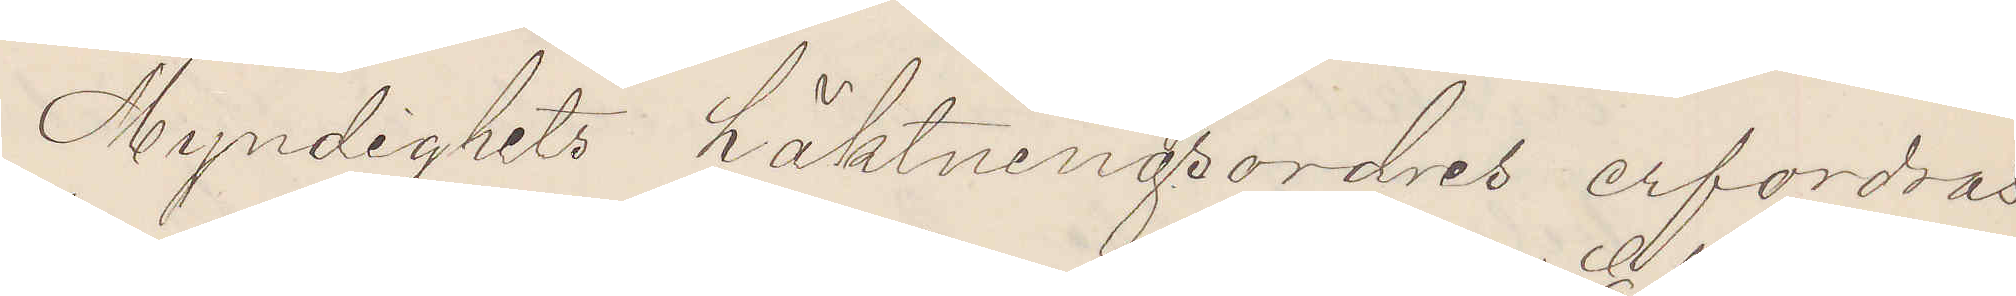Myndighets häktningordres erfordras
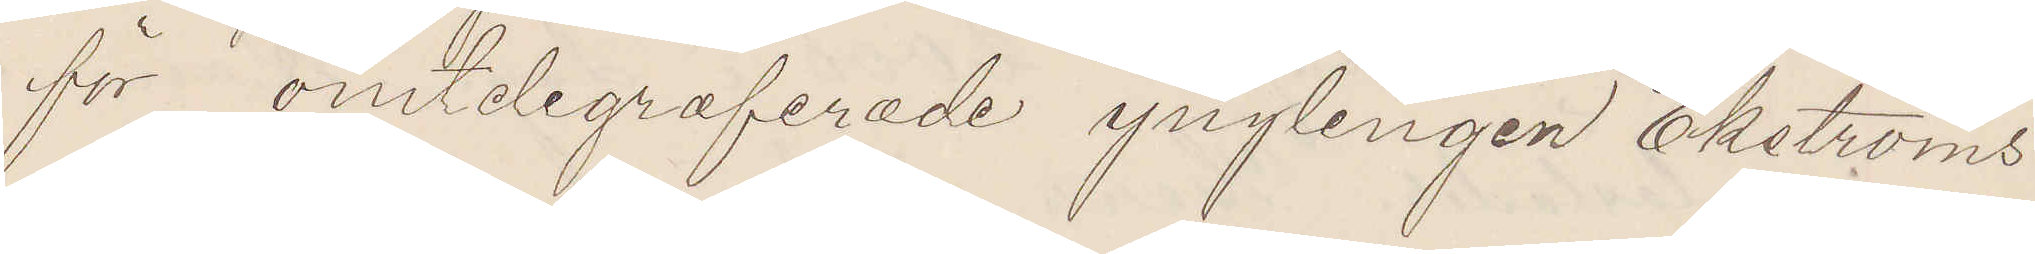för omtelegraferade ynglingen Ekströms
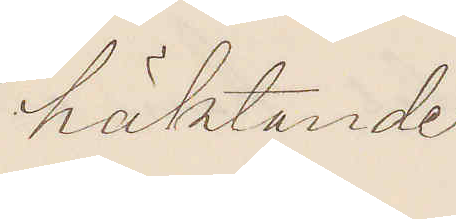häktande.
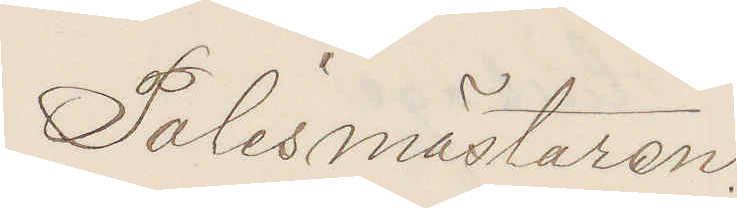Polismästaren.
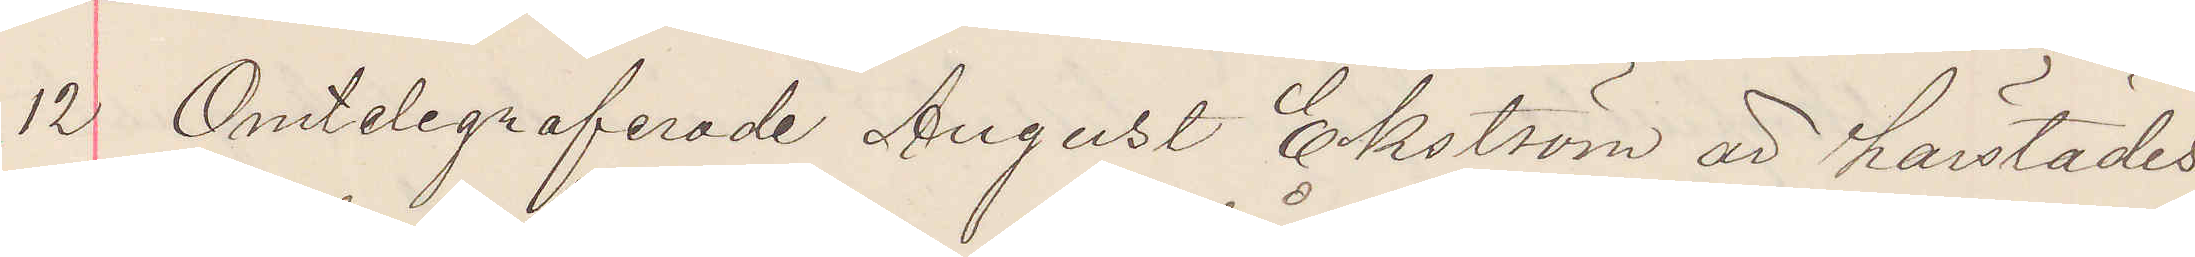12 Omtelegraferade August Ekström är härstädes
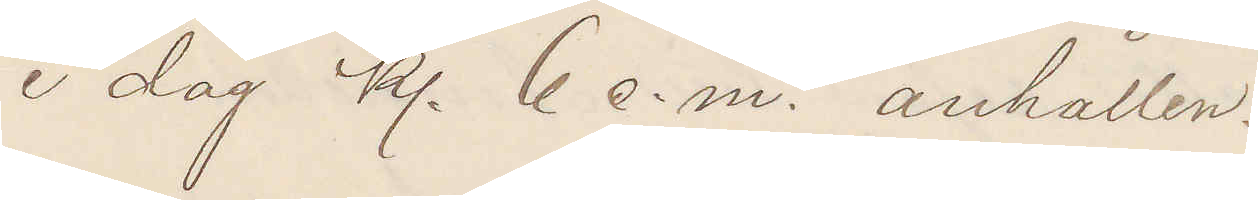i dag kl 6 e. m. anhållen.
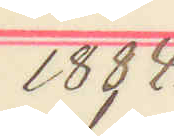1884.
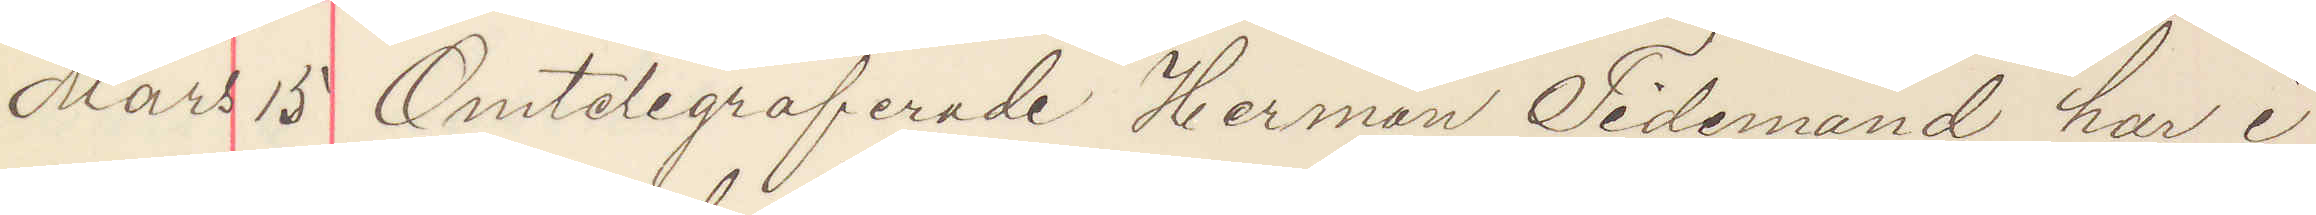Mars 15 Omtelegraferade Herman Tidemand har i
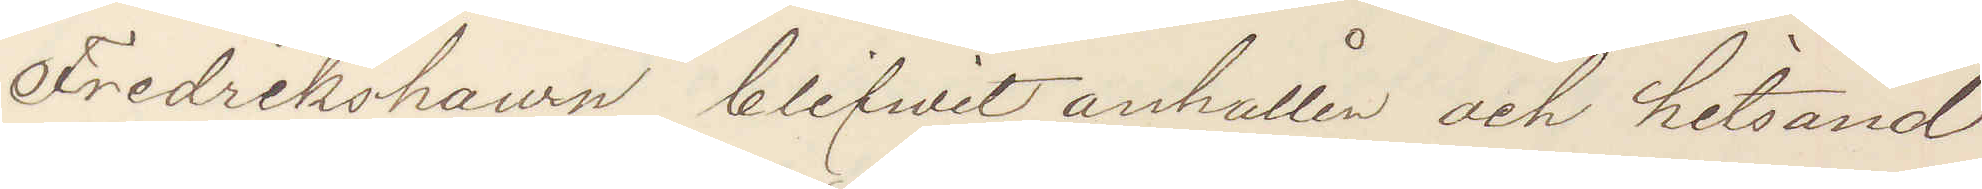Fredrikshawn blifvit anhållen och hitsänd
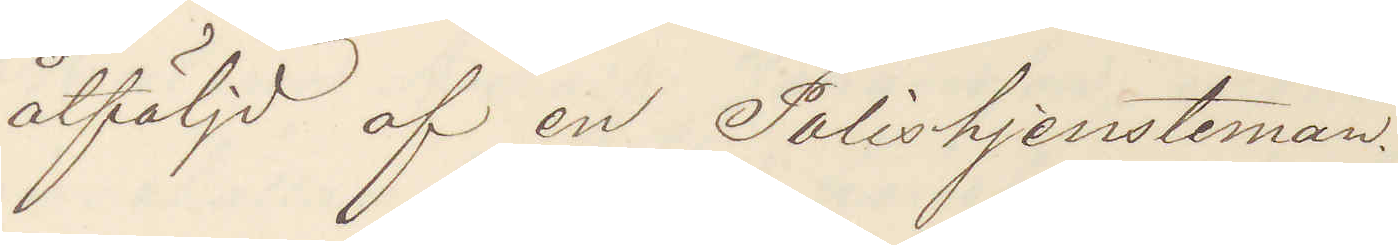åtföljd af en Polistjensteman.
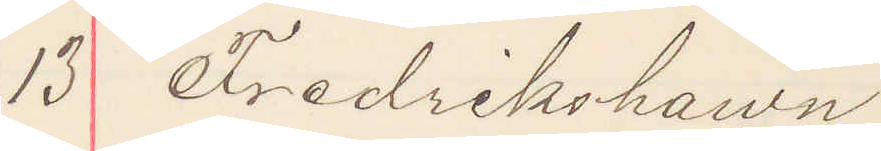13 Fredrikshawn
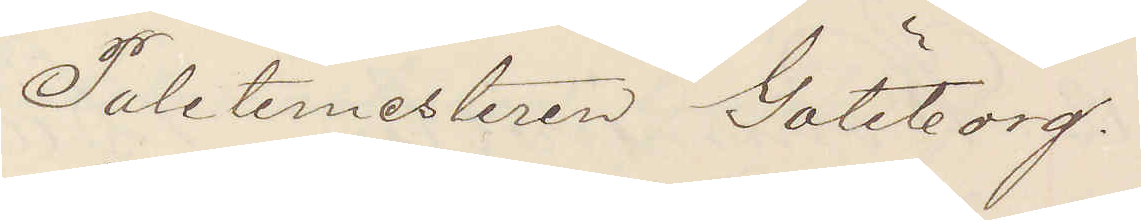Politimesteren Göteborg.
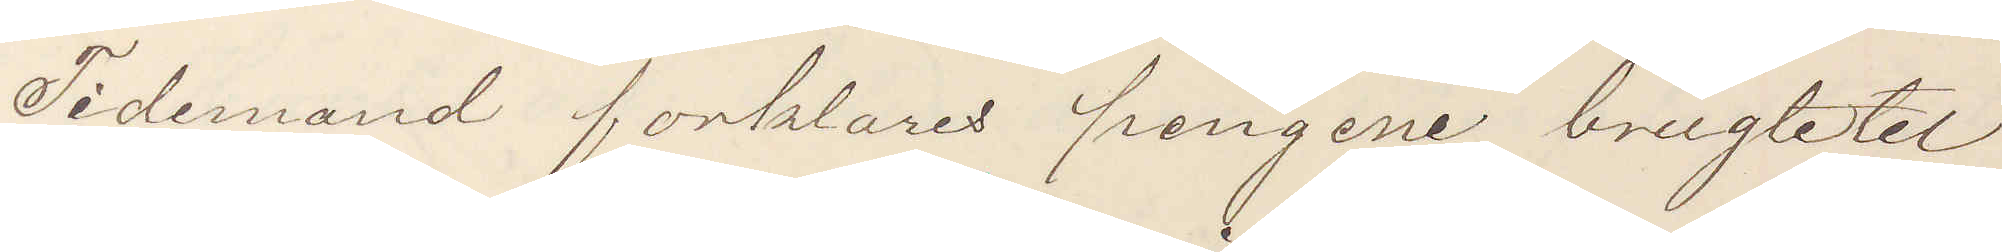Tidemand forklares pengene brugte tel
